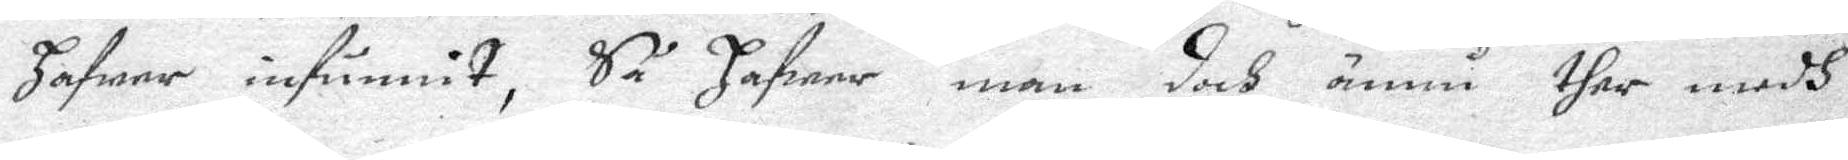hafwer infunnit, Så hafwer man doch ännu ther medh
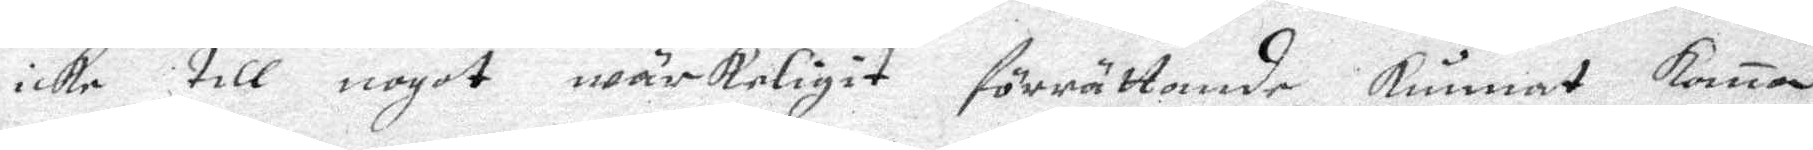icke till nogot wärkwligit förrärrande Kunnat Koma
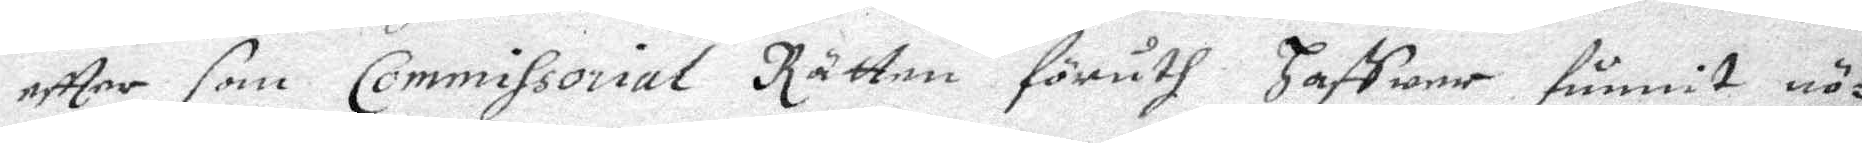effter som Commissorial Rätten föruth Haffwer funnit nö¬
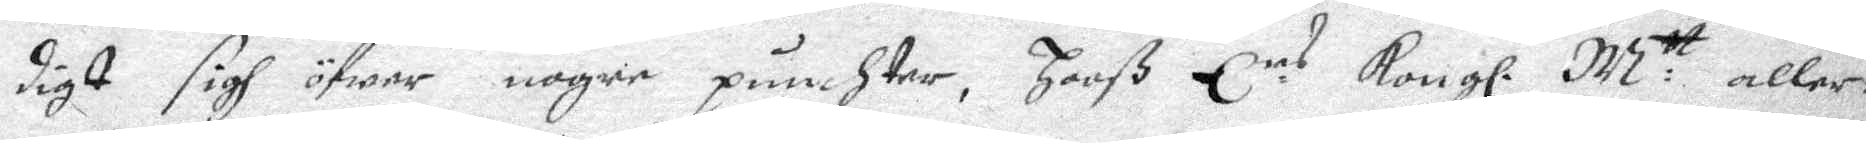digt sigh öfwer nogre punchter, Hooß E re Kongl. M:tt aller
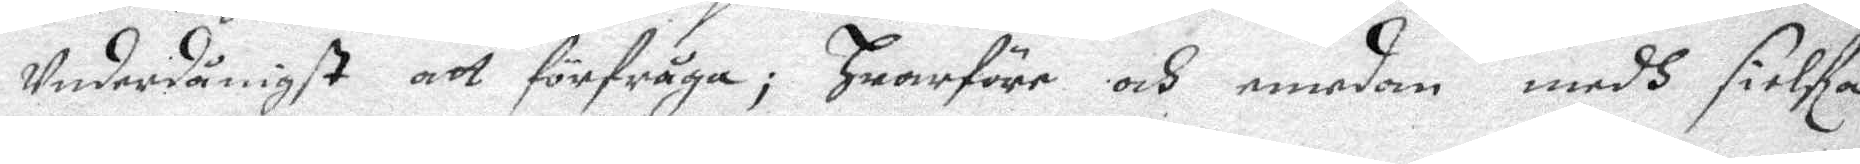Underdånigst att förfråga; Hwarföre och emedan medh sielfa 
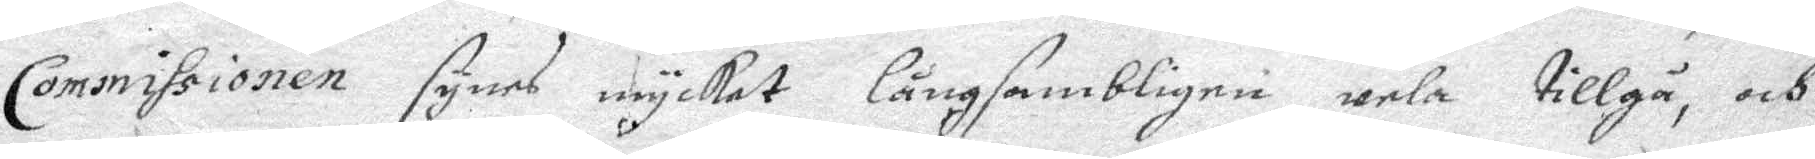Commissionen synes mycket långsambligne wela tillgå, och
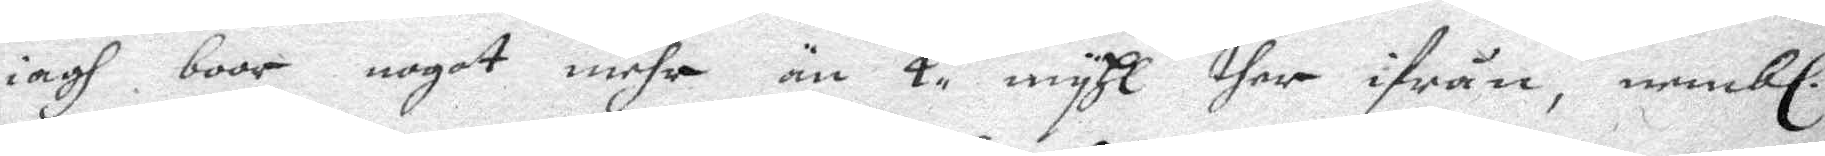iagh boor nogot mehr än 4 myhl ther ifrån, nembl
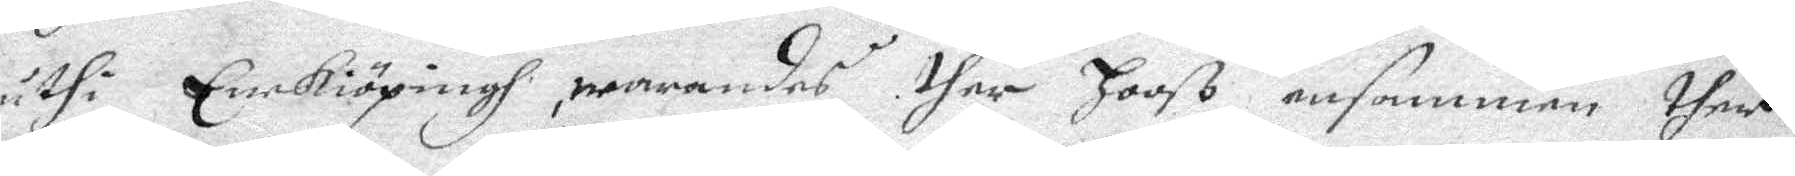uthi EneKiöpingh, warandes ther Hooss ensammen ther
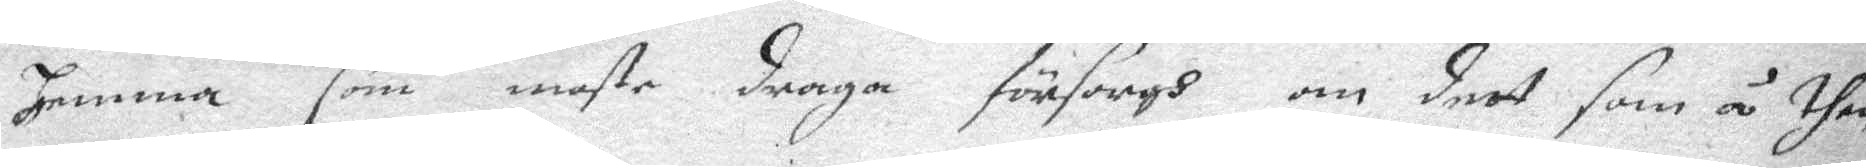hemma som moste draga försorgh om deet som å then 
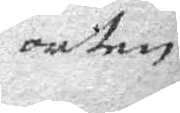orten
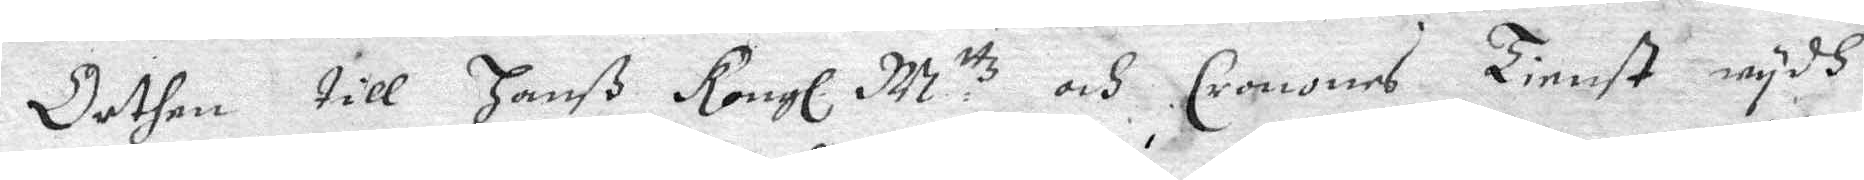Orthen till Hanß Kongl. M ttz och Cronones Tienst wydh
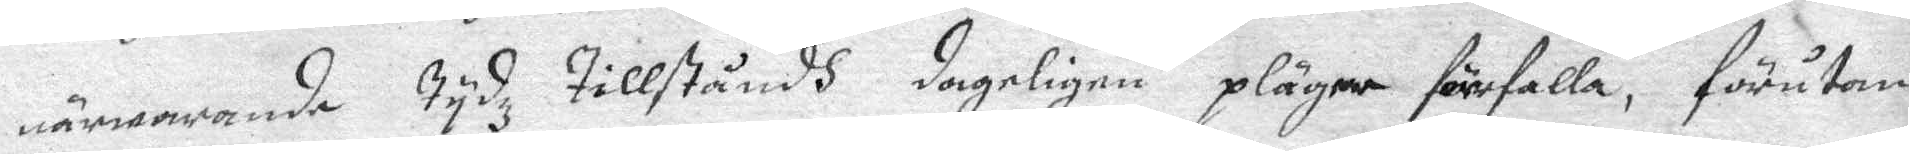närwarande Tydhz Tillståndh dageligen plägar förefalla, förutom
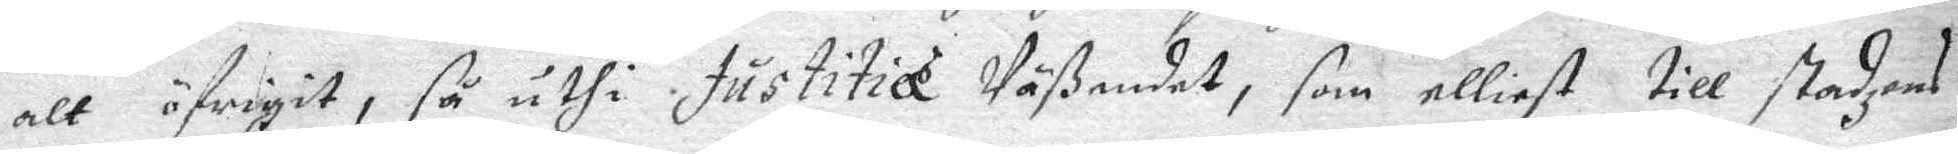alt öfrigit, så uthi Justitiæ Wäsendet, som elliest till stadzens
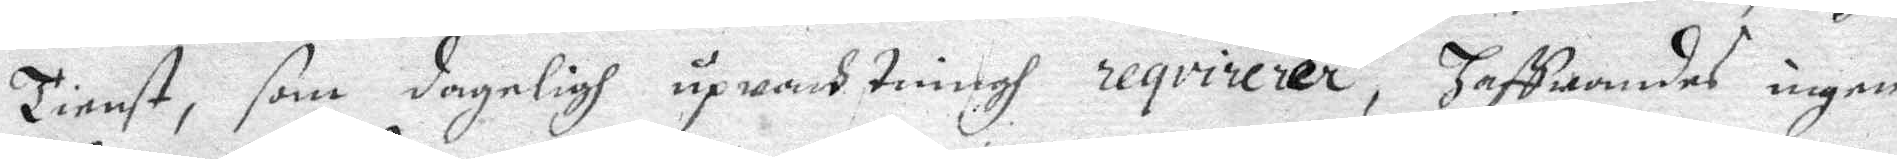Tienst, som dageligh upwach Tinng reqvirerer, Haffwandes ingen
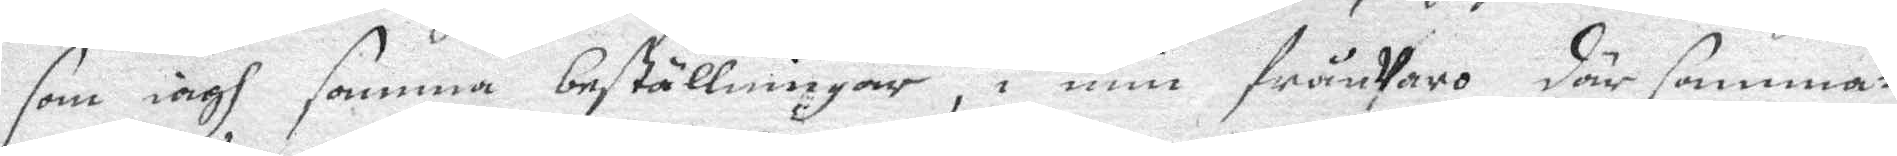som iagh samma beställningar, i min frånwaro där samma¬
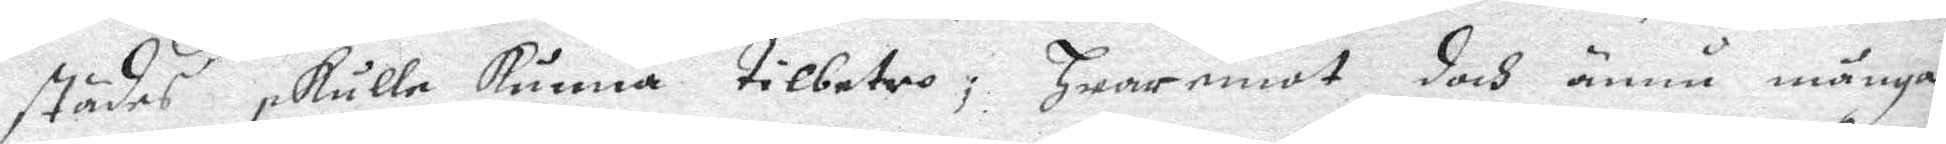städes skulle kunna tillbetro, Hwaremot doch ännu många
